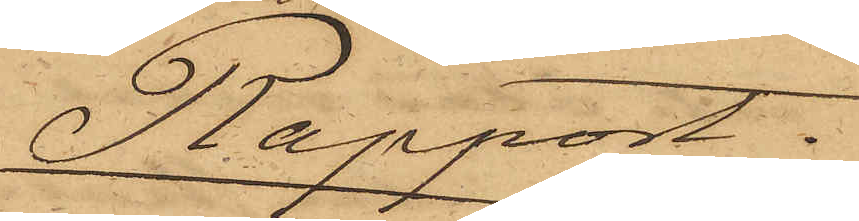Rapport.
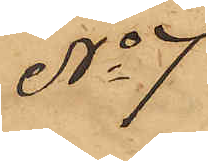No 7
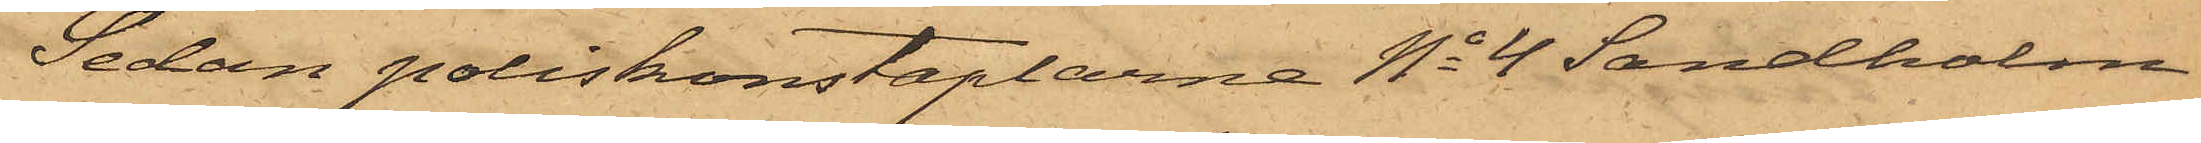Sedan poliskonstaplarne No 4 Sandholm
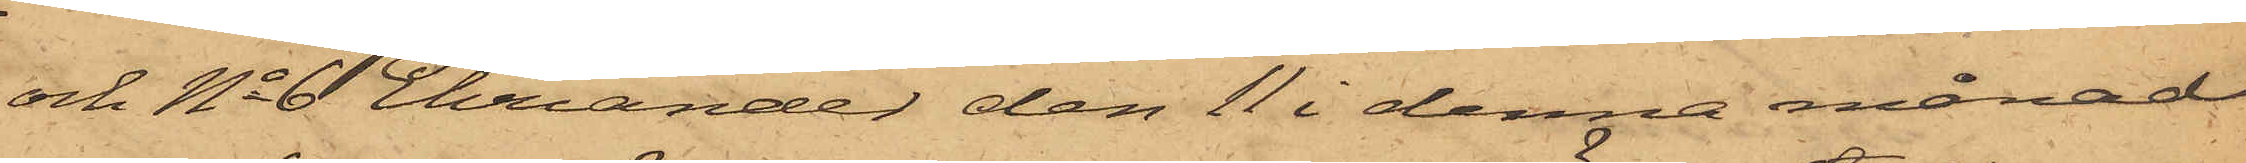och No 6 Ehriander den 11 i denna månad
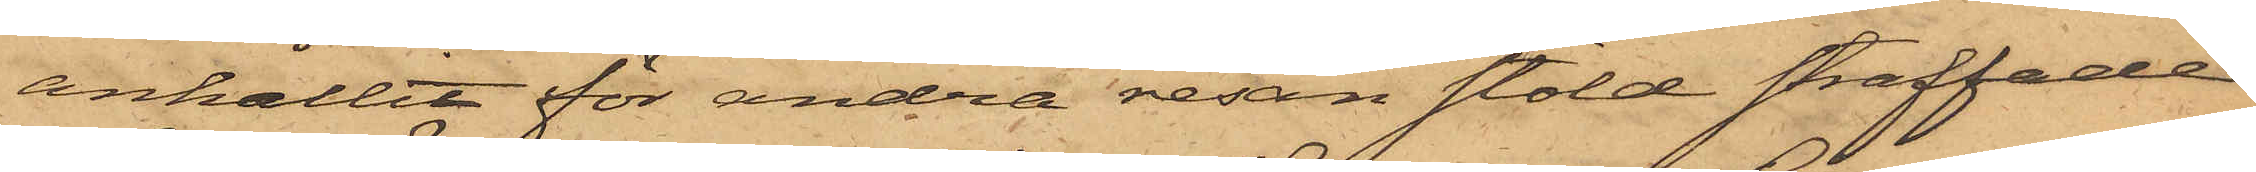anhållit för andra resan stöld straffade
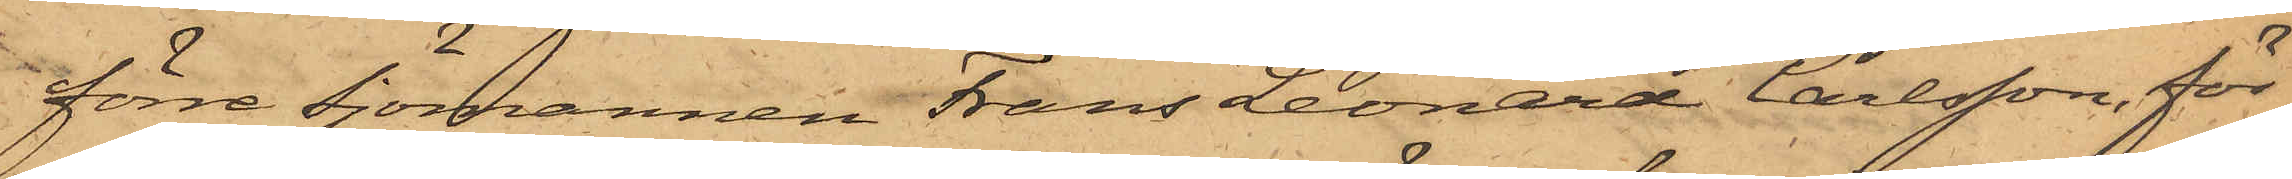förre Sjömannen Frans Leonard Carlsson, för
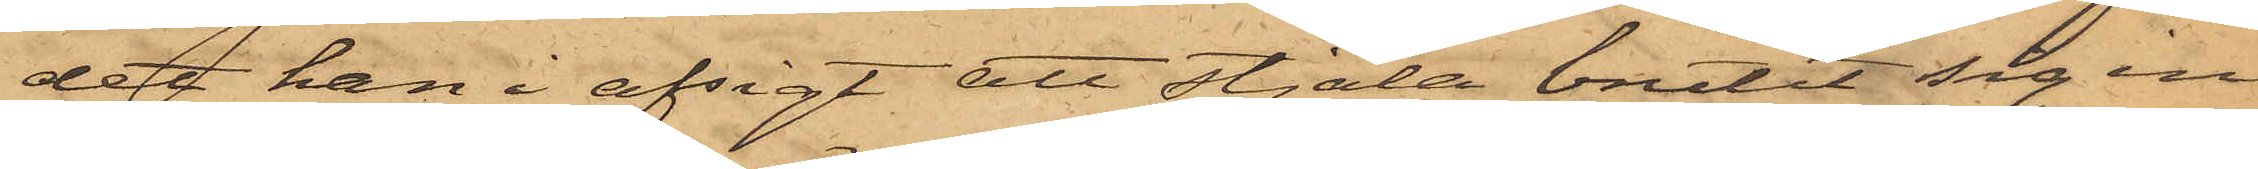det han i afsigt att stjäla brutit sig in
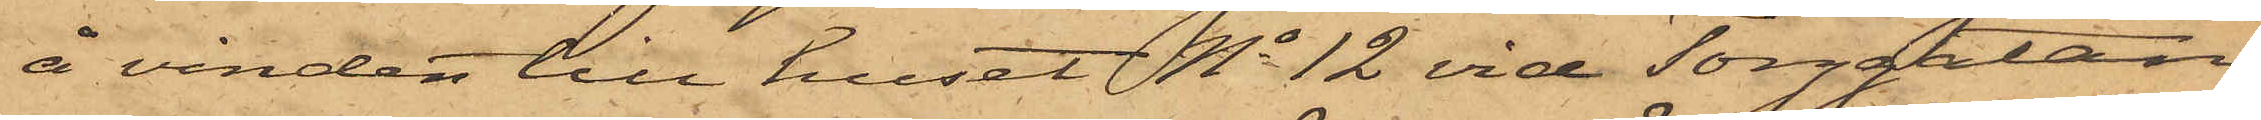å vinden till huset No 12 vid Torggatan,
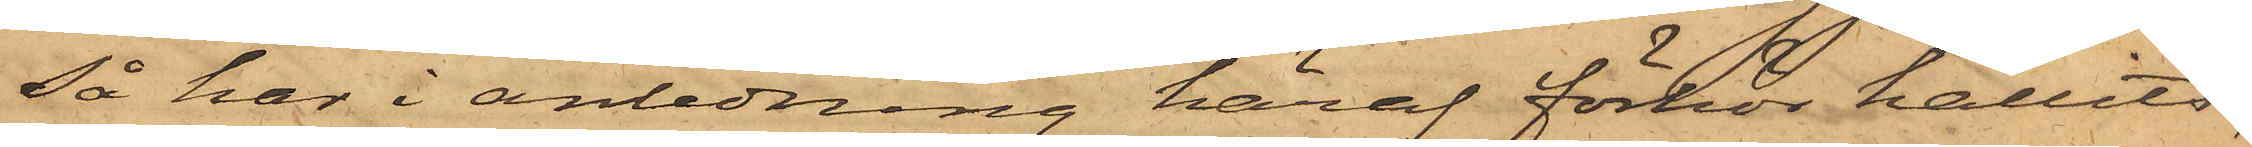så har i anledning häraf förhör hållits,
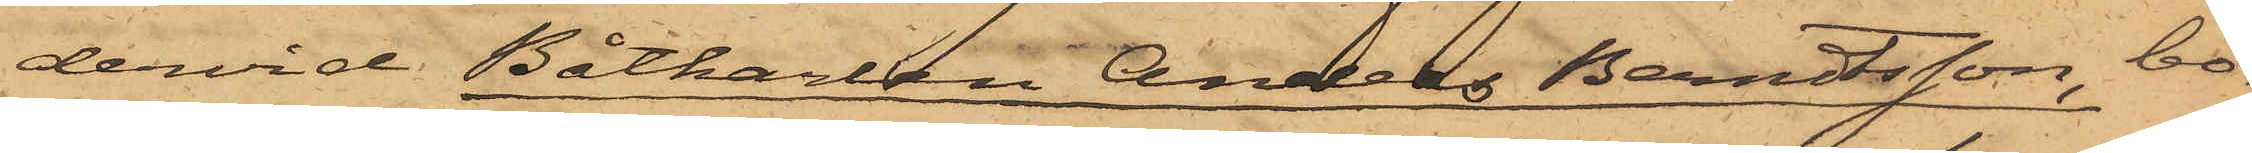dervid Båtkarlen Anders Berndtsson, bo¬
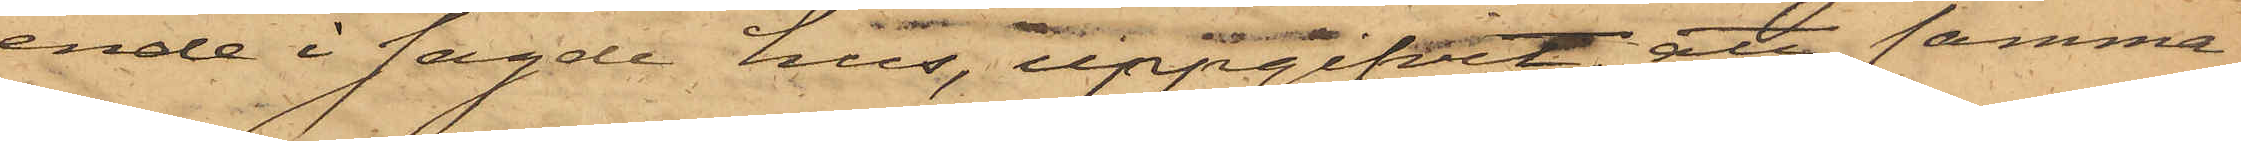ende i sagde hus, uppgifvit, att samma
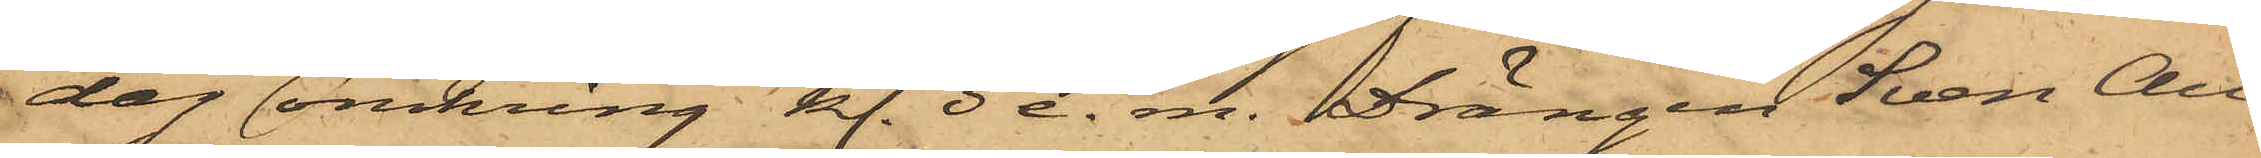dag omkring kl. 3 e. m. Drängen Sven Au¬
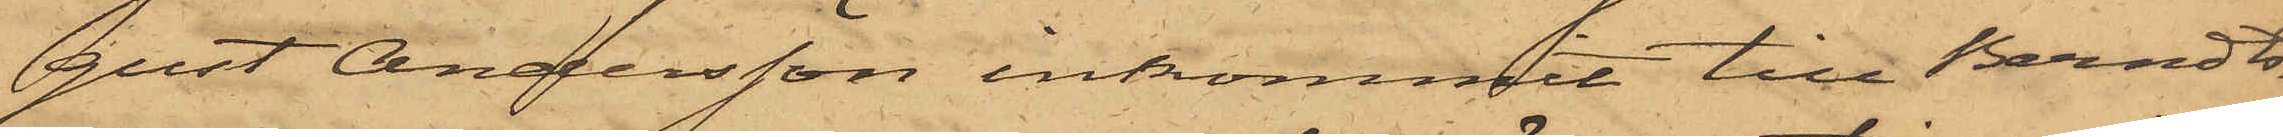gust Andersson inkommit till Berndts¬
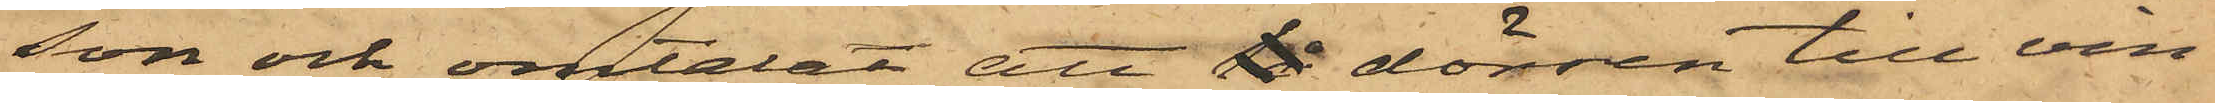son och omtalat att lå dörren till vin¬
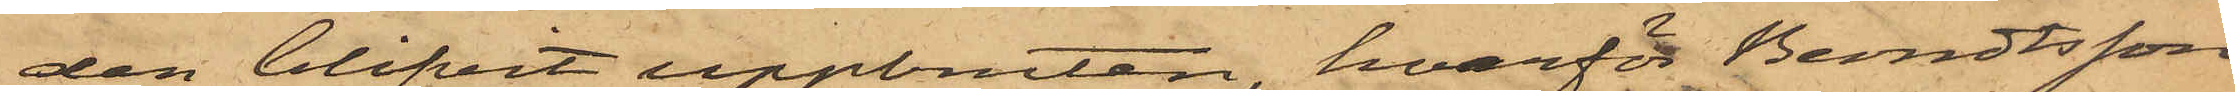den blifvit uppbruten, hvarför Bendtsson
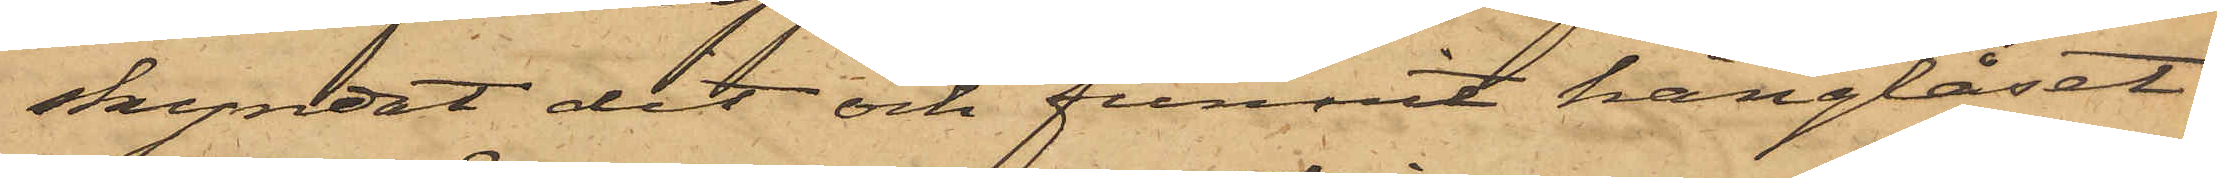skyndat det och funnit hänglåset
